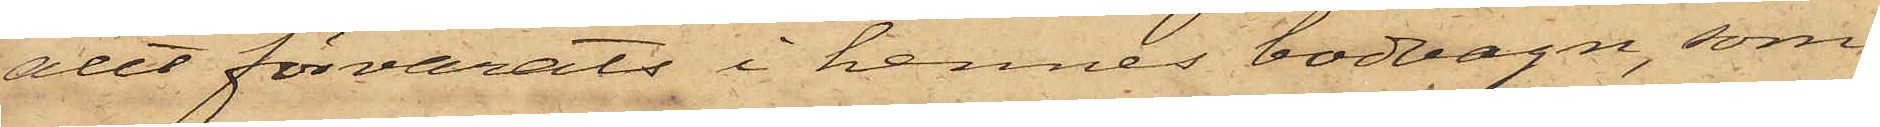allt förvarats i hennes bodvagn, som
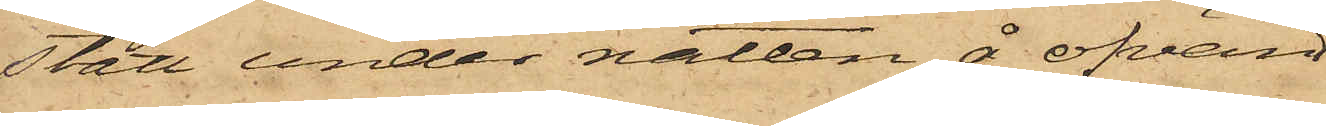stått under natten å ofvan
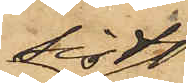sist
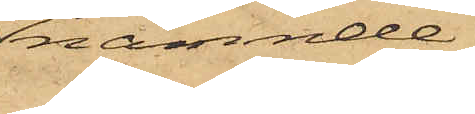nämnde
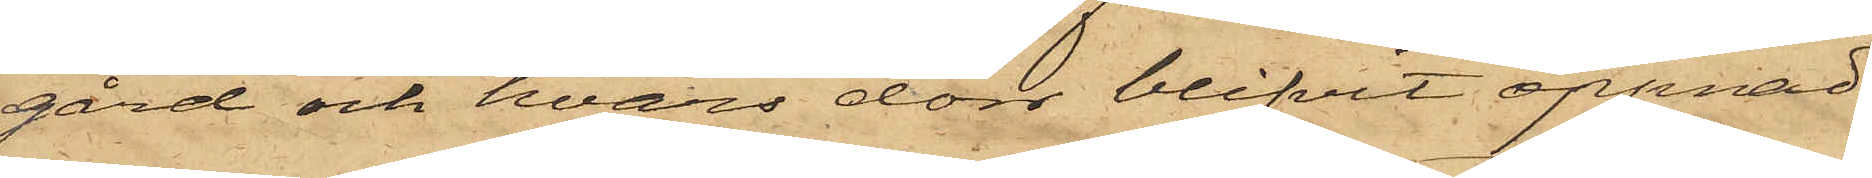gård och hvars dörr blifvit öppnad
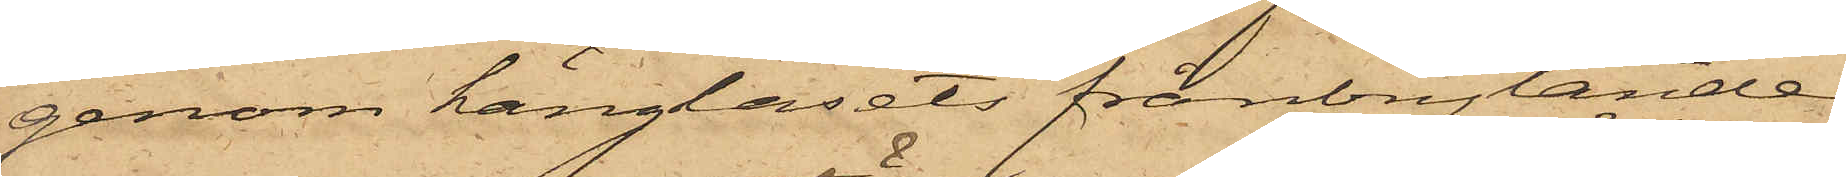genom hänglåsets frånbrytande.
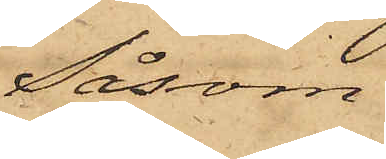Såsom
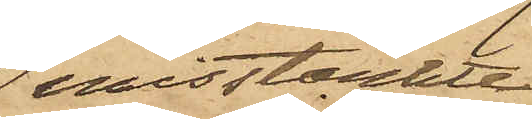misstänkte
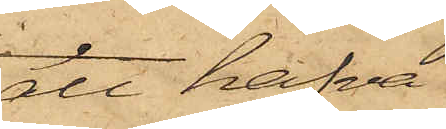att hafva
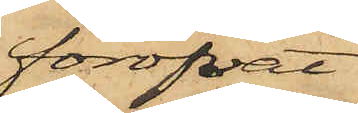föröfvat
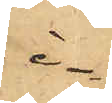i¬
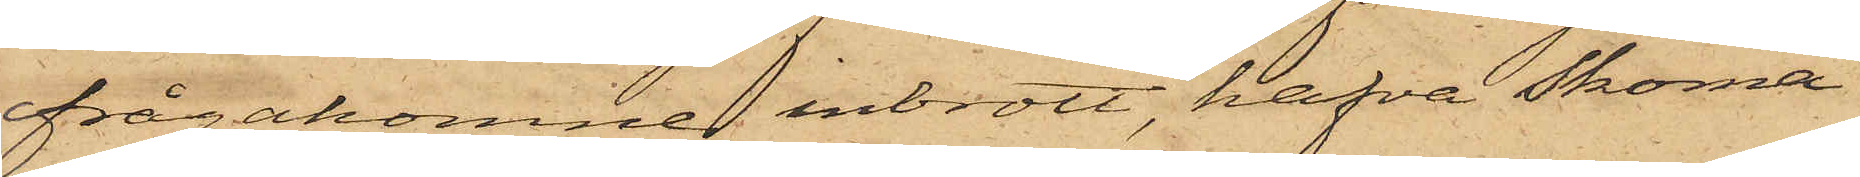frågakomne inbrott, hafva Skoma¬
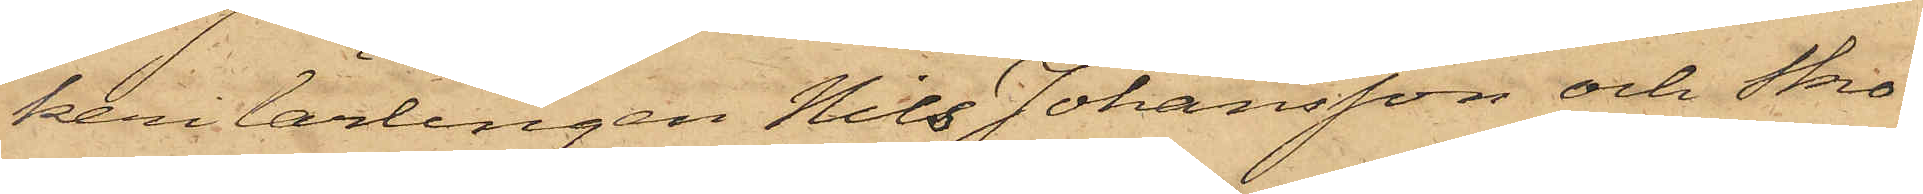kerilärlingen Nils Johansson och Sko¬
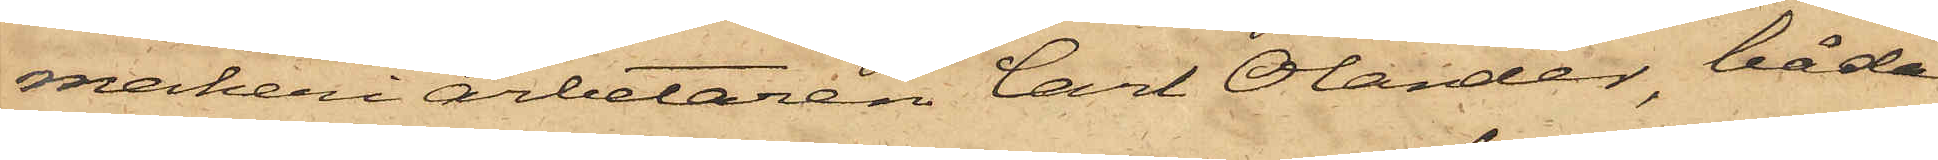makeriarbetaren Carl Olander, båda
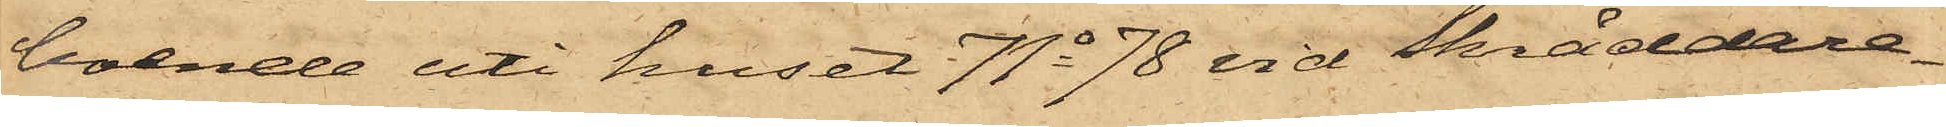boende uti huset No 78 vid Skräddare¬
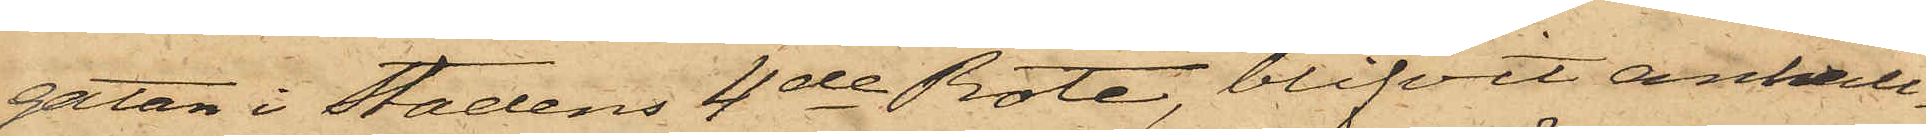gatan i stadens 4de Rote, blifvit anhåll¬
